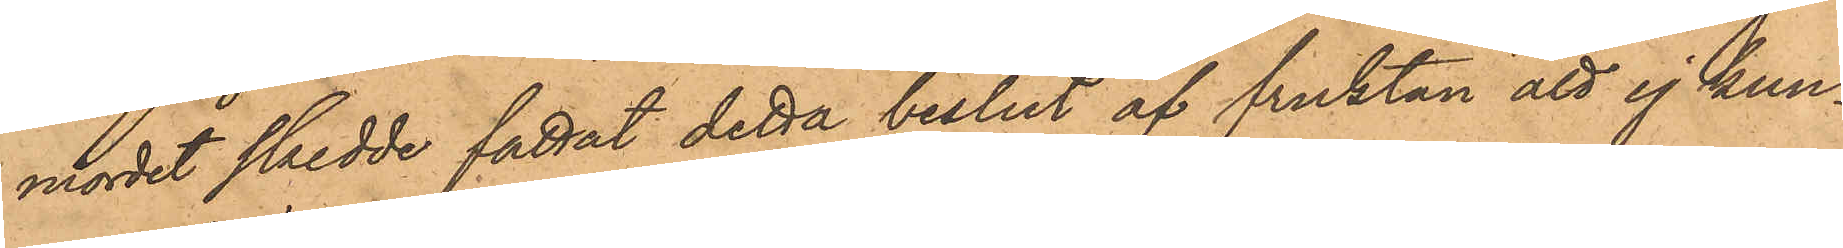mordet skedde fattat detta beslut af fruktan att ej kun¬
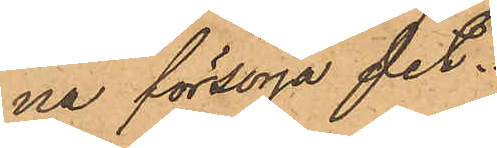na försörja det.
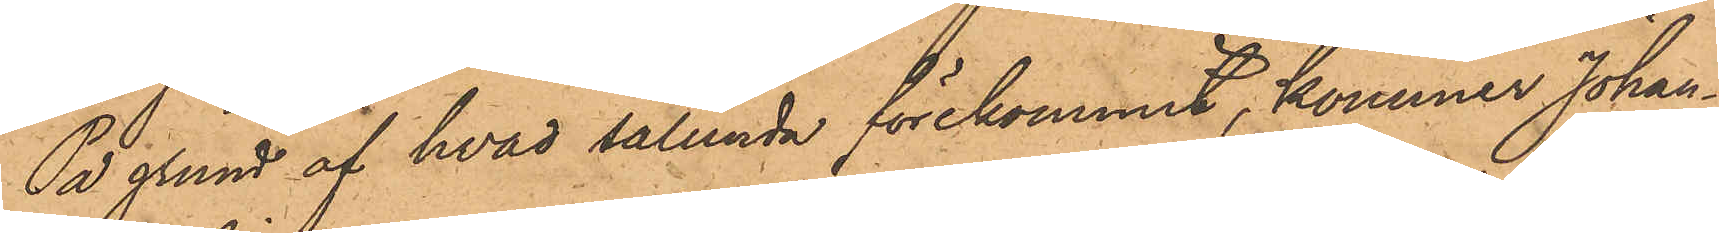På grund af hvad sålunda förekommit, kommer Johan¬
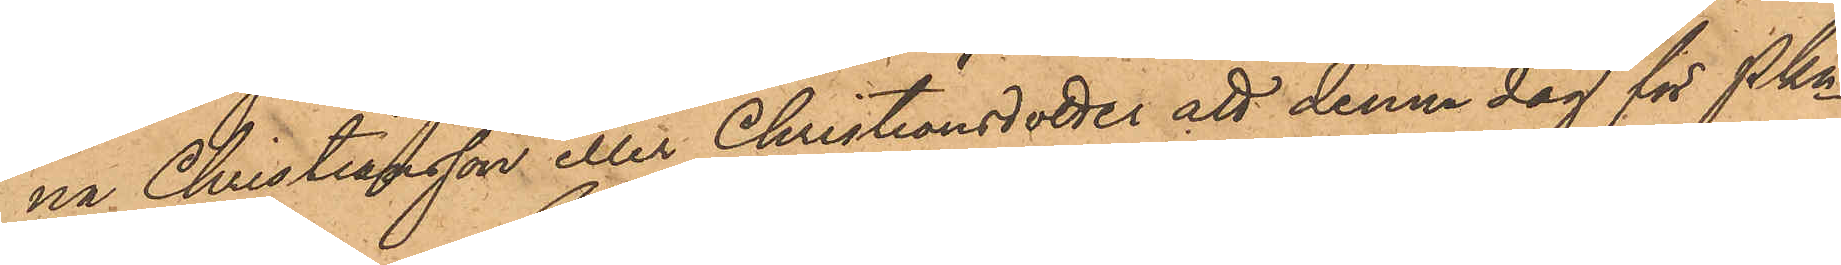na Christiansson eller Christiansdotter att denna dag för Pkn
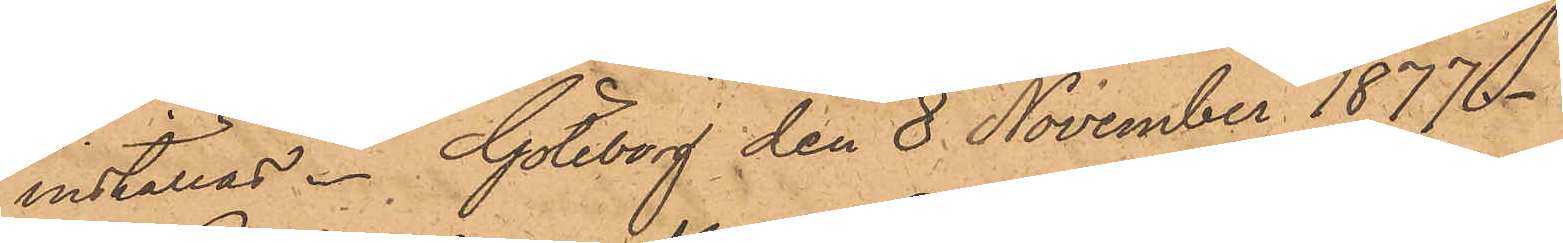inställas. Göteborg den 8 November 1877.
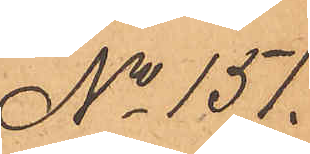No 151.
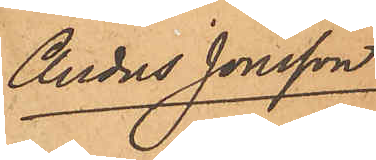Anders Jonsson
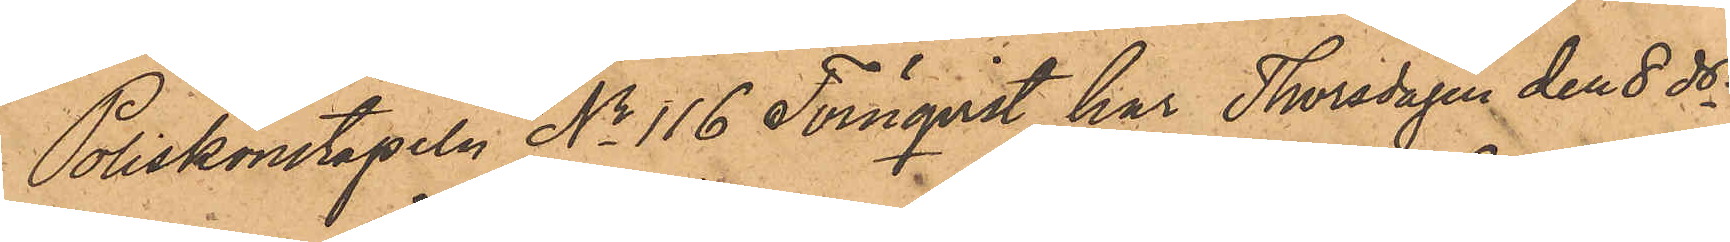Poliskonstapeln No 116 Törnqvist, har Thorsdagen den 8 ds
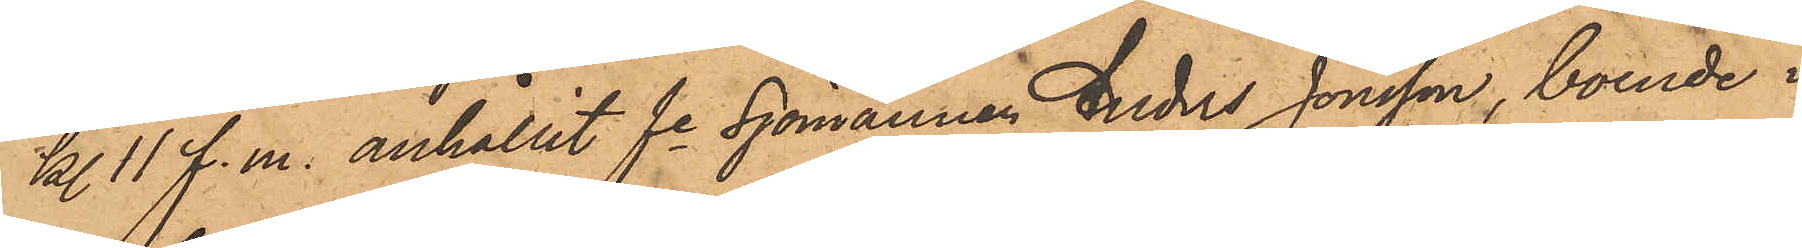kl. 11 f. m. anhållit fe Sjömannen Anders Jonsson, boende i
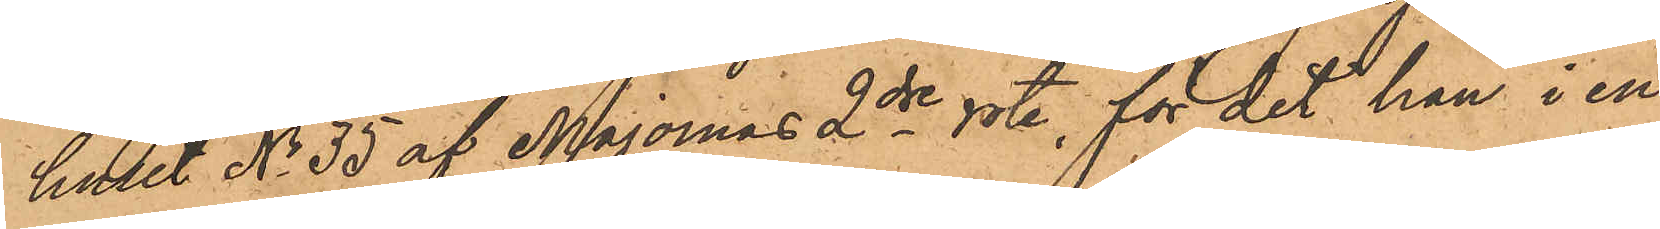huset No 35 af Majornas 2dre rote, för det han i en
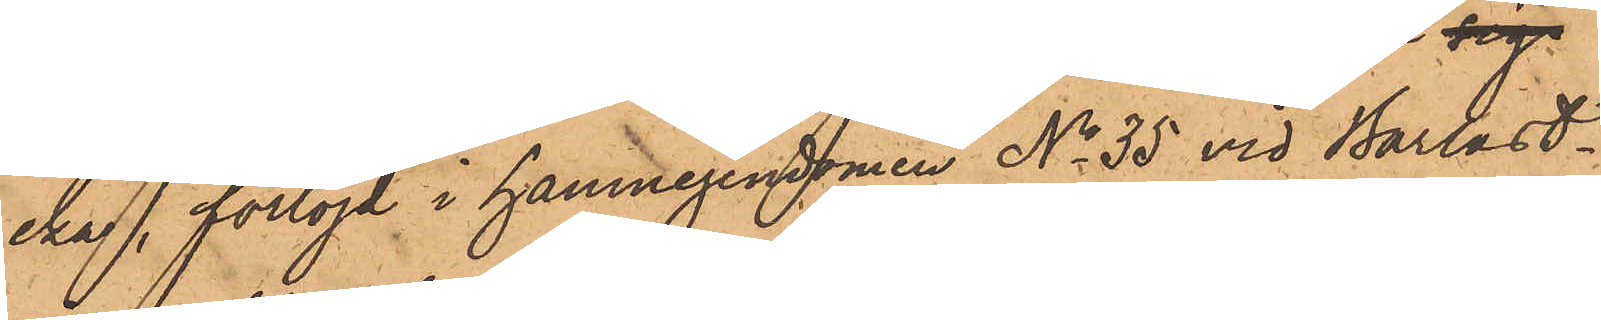eka, förtöjd i hamnegendomen No 35 vid Barlast¬
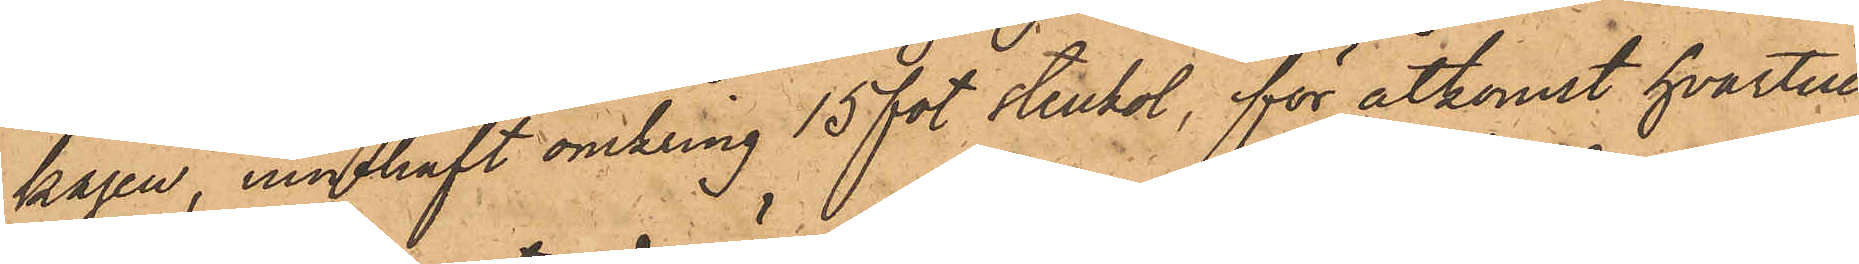kajen, innehaft omkring 15 fot stenkol, för åtkomst hvartill
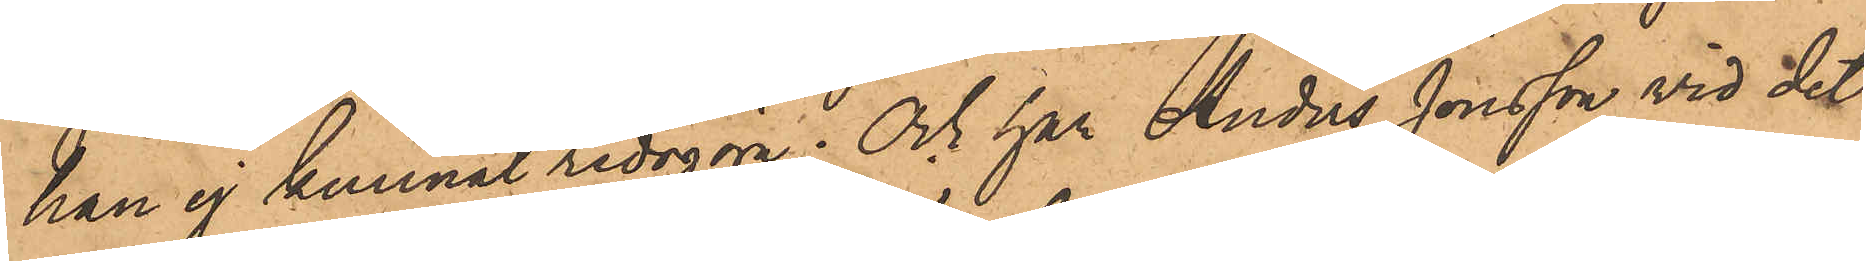han ej kunnat redogöra; Och har Anders Jonsson vid det
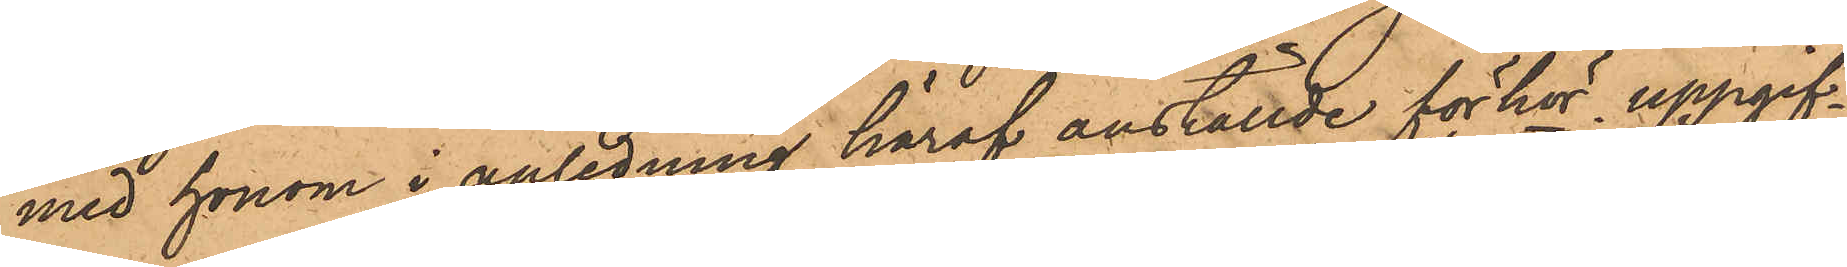med honom i anledning häraf anställde förhör uppgif¬
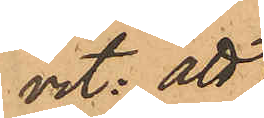vit: att
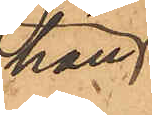han
